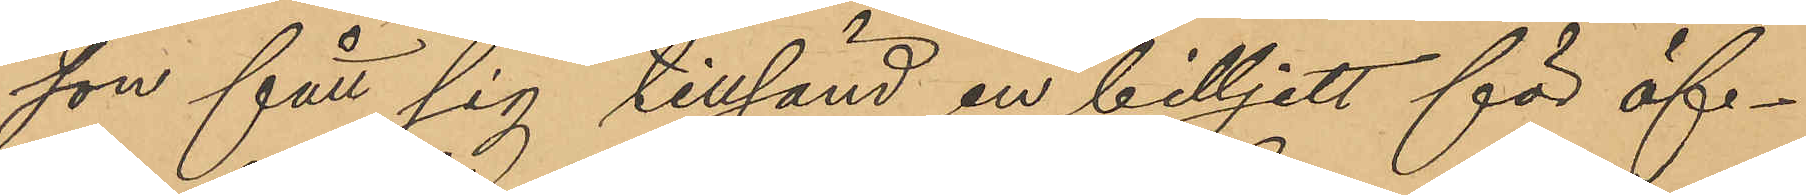son fått sig tillsänd en billjett för öf¬
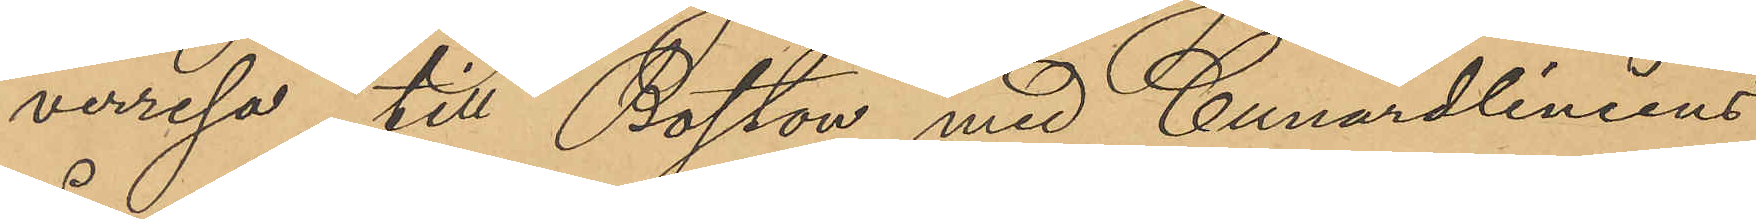verresa till Boston med Cunardliniens
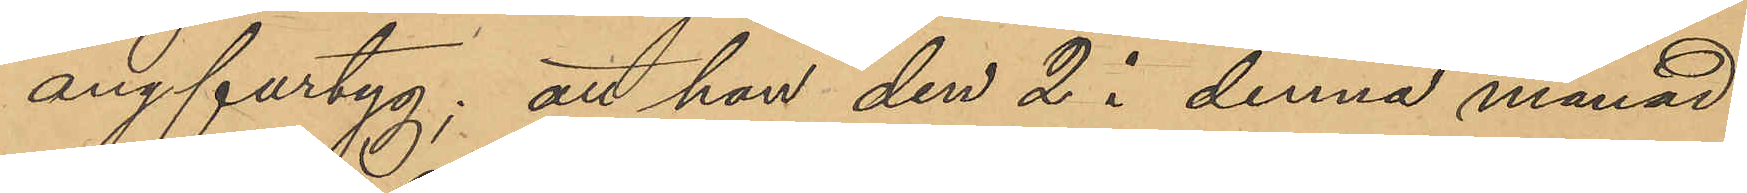ångfartyg; att han den 2 i denna månad
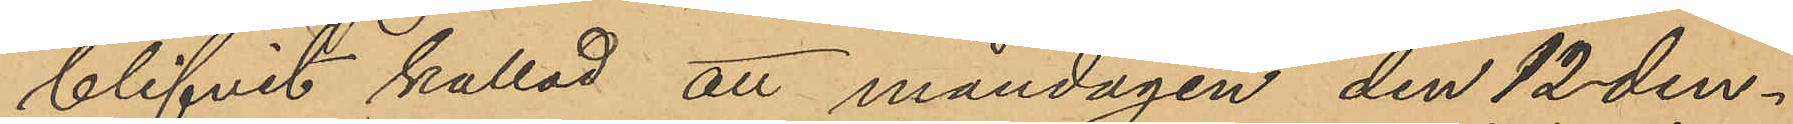blifvit kallad att måndagen den 12 den¬
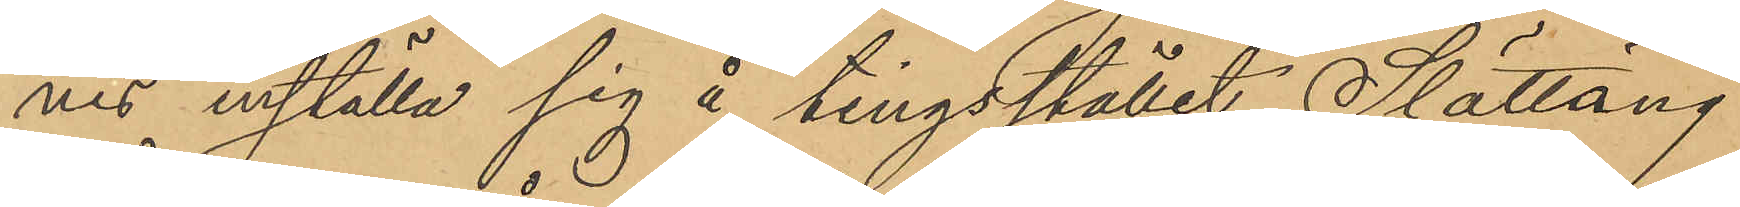nes inställa sig å tingsstället Slättäng
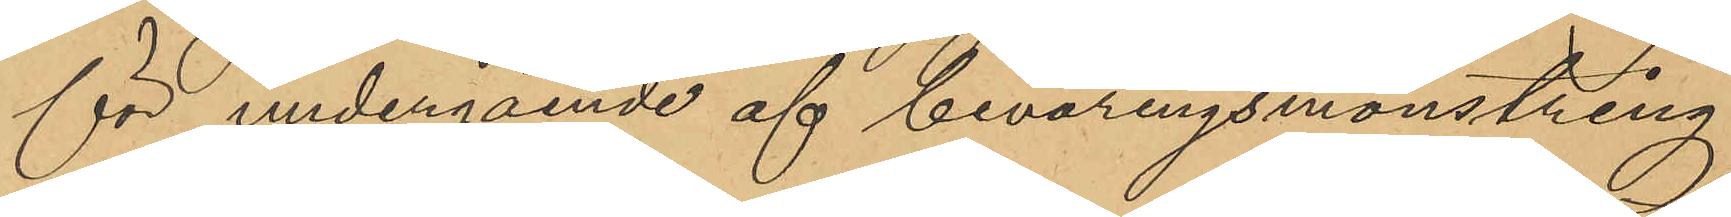för undergående af beväringsmönstring,
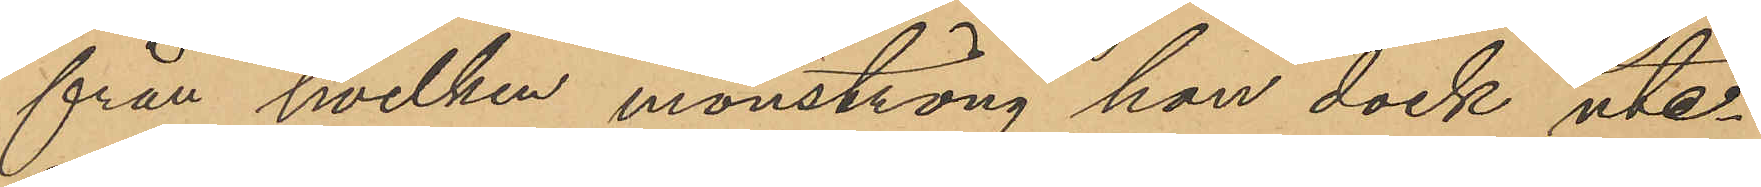från hvilken mönstring han dock ute¬
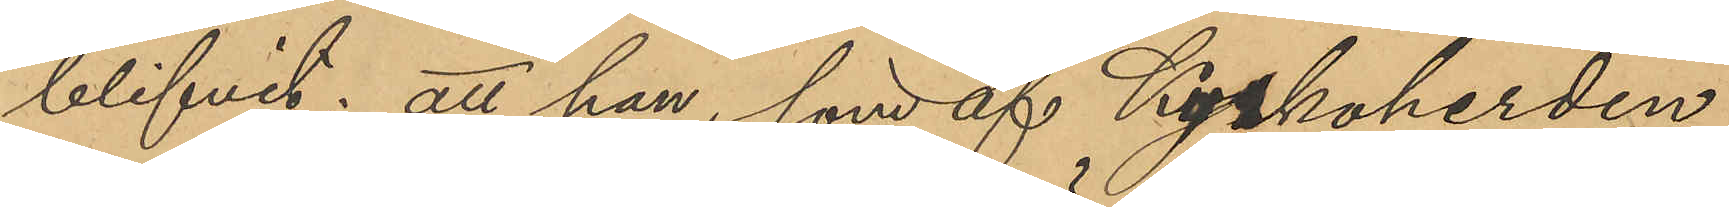blifvit; att han, som af Kyrkoherden
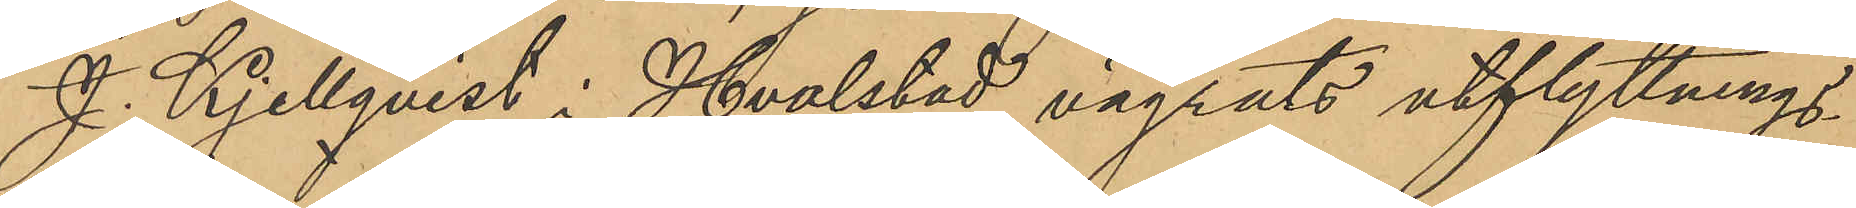J. Kjellqvist i Hvalstad vägrats utflyttnings¬
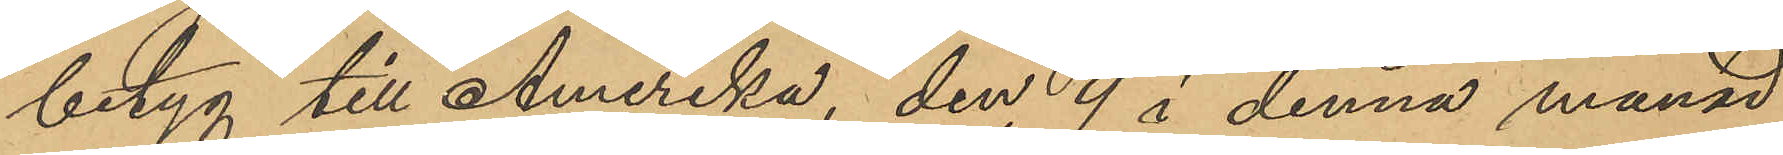betyg till Amerika, den 9 i denna månad
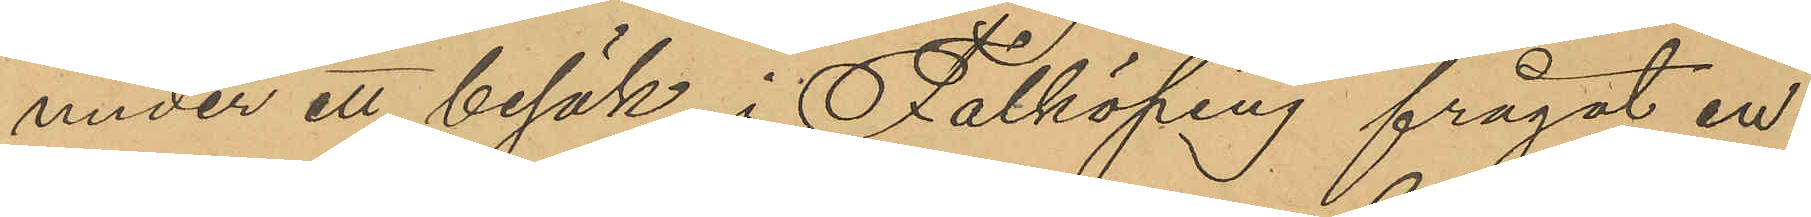under ett besök i Falköping frågat en
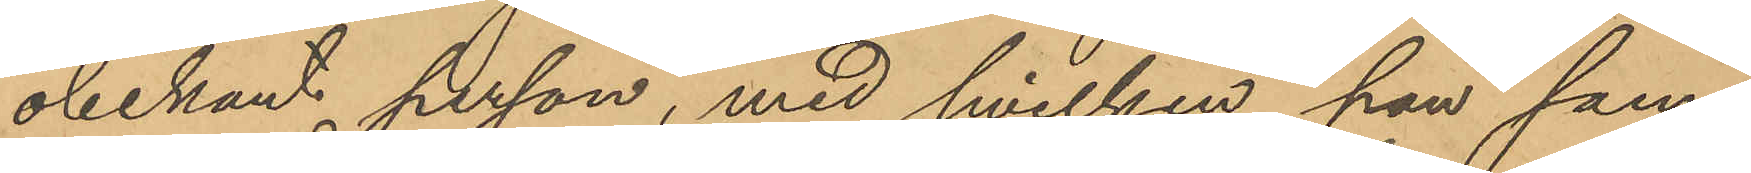obekant person, med hvilken han sam¬
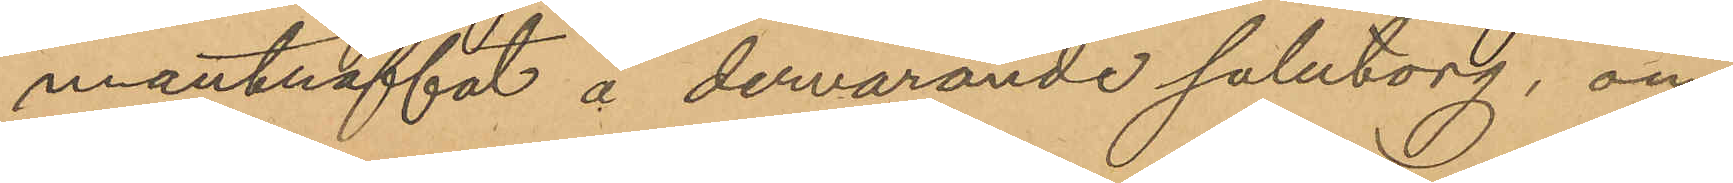manträffat å dervarande salutorg, om
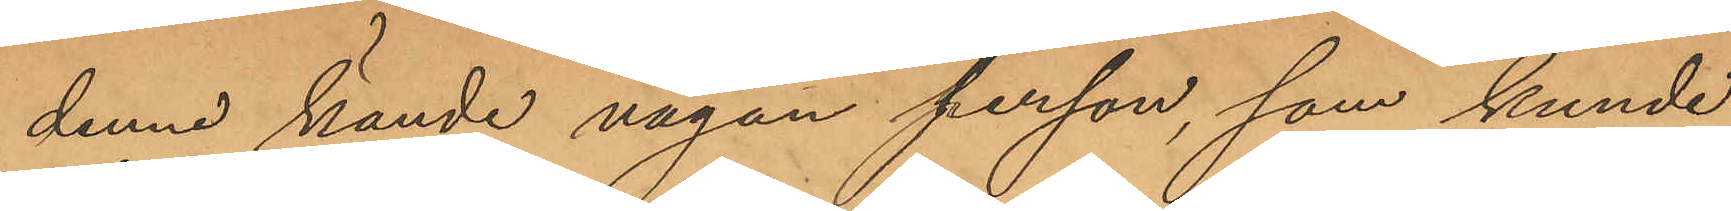denne kände någon person, som kunde
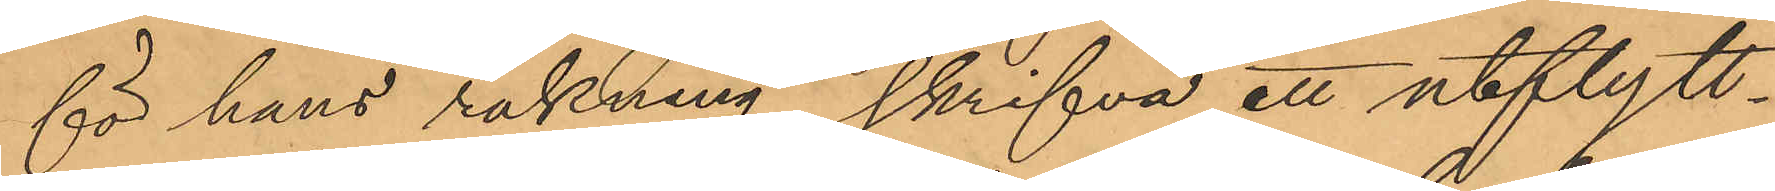för hans räkning skrifva ett utflytt¬
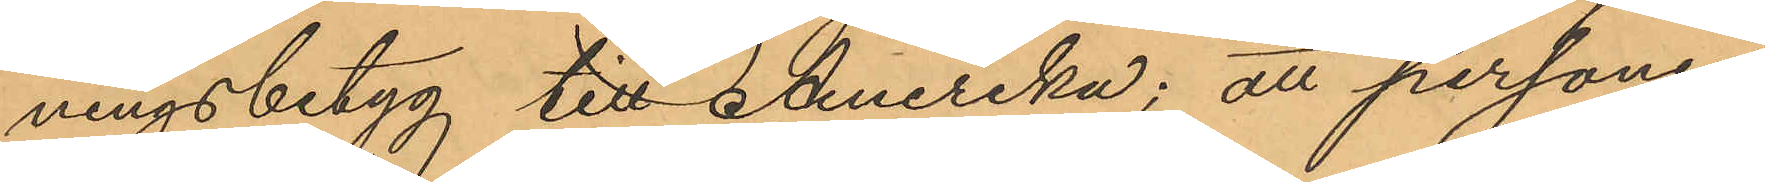ningsbetyg till Amerika; att personen
